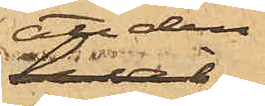att den
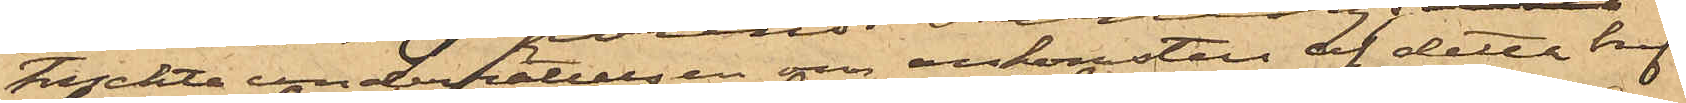tryckta underrättelsen om ankomsten af detta bref
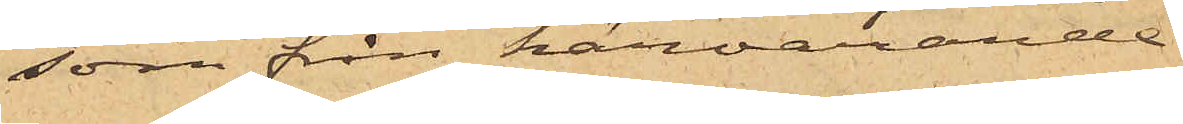, som från härvarande
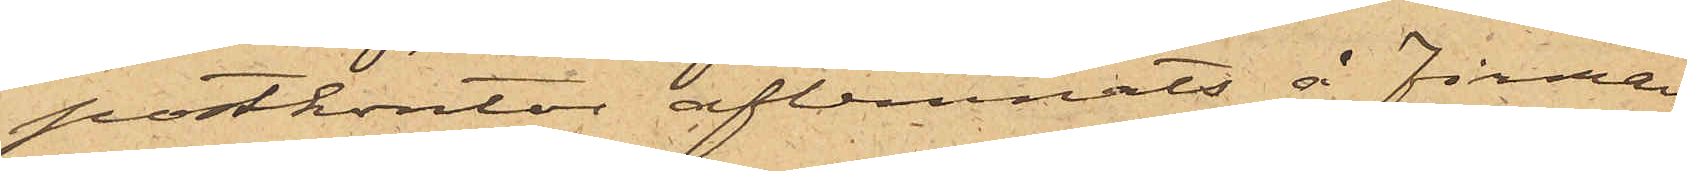postkontor aflemnats å Firman
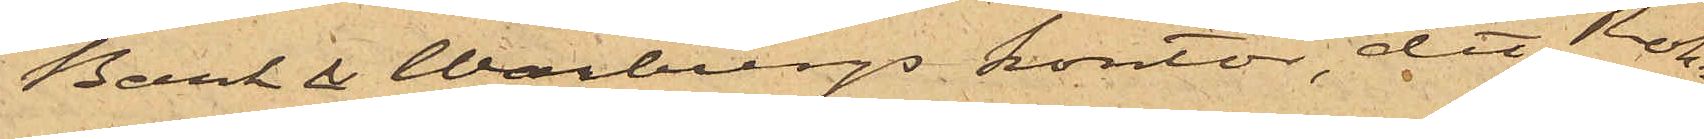Bark & Warburgs kontor, dit Roh¬
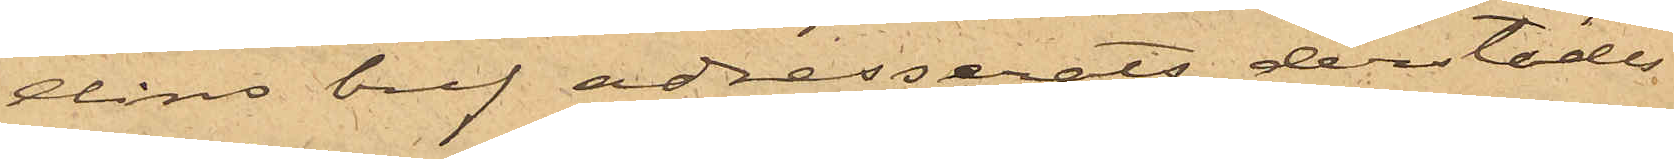dins bref adresserats, derstädes
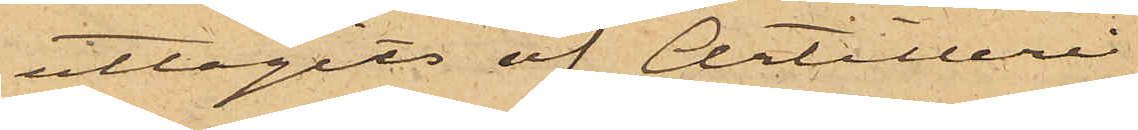uttagits af Artilleri¬
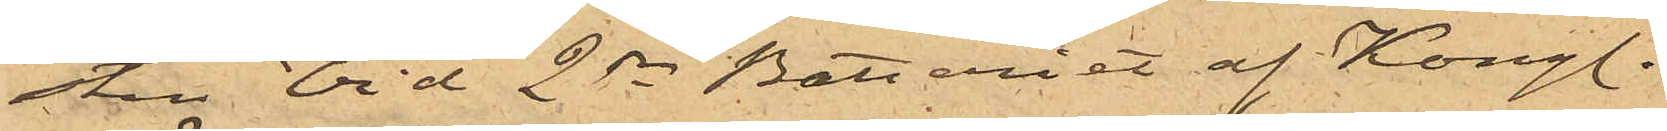sten vid 2dra Batteriet af Kongl.
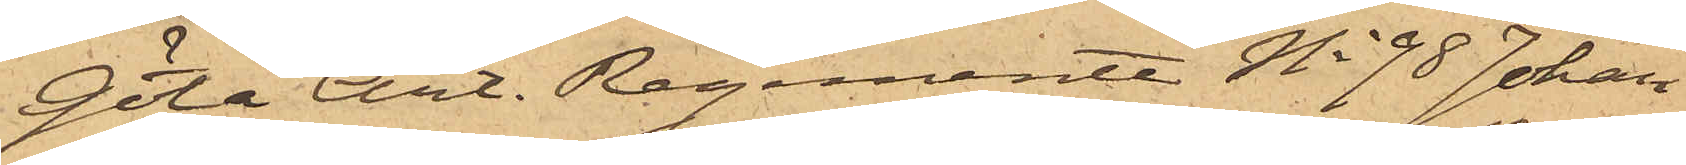Göta Art. Regemente No 98 Johan
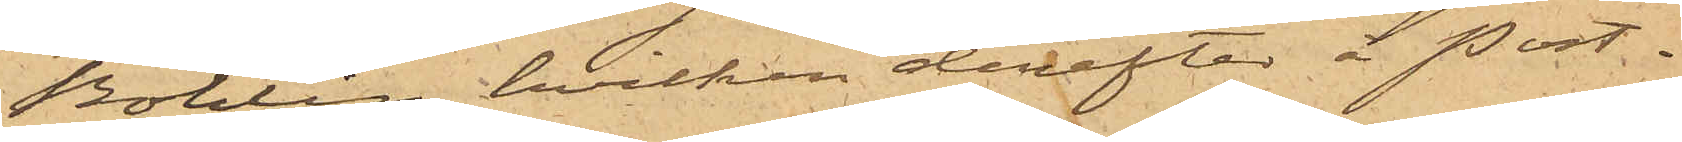Bohlin, hvilken derefter å Post¬
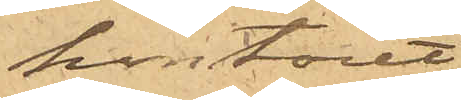kontoret
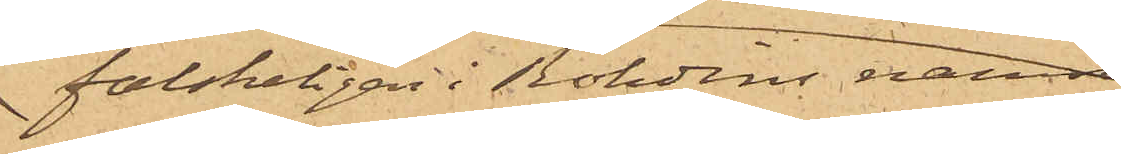falskeligen i Rohdins namn
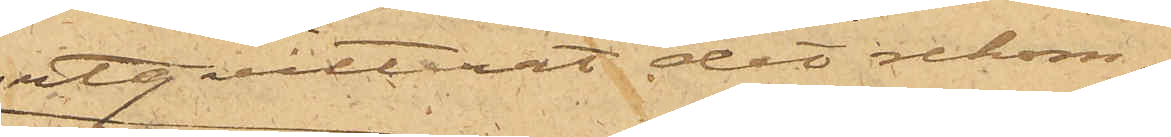utqvitterat det rekom¬
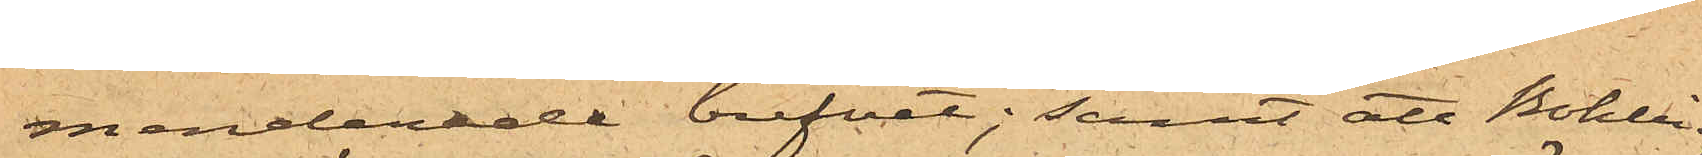menderade brefvet; samt att Bohlin,
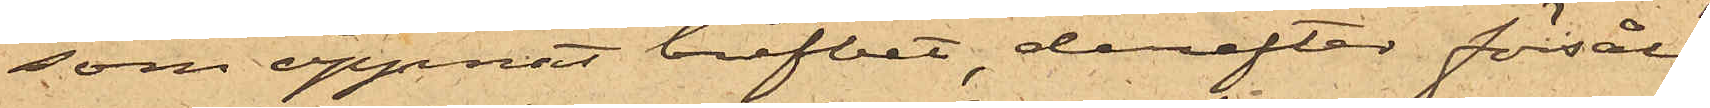som öppnat brefvet, derefter försålt
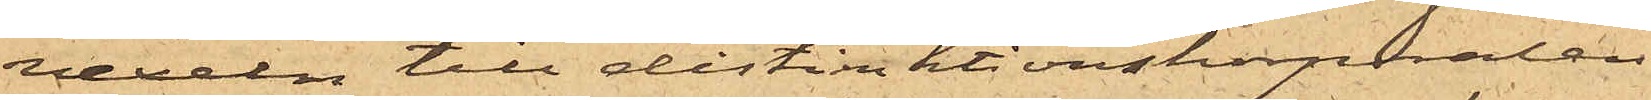vexeln till distinktionskorporalen
